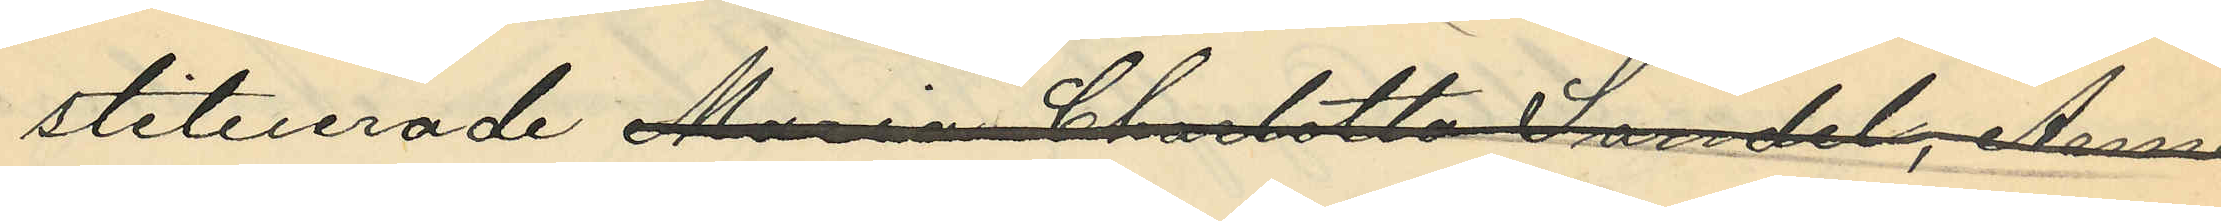stituerade Maria Charlotta Sandel, Anna
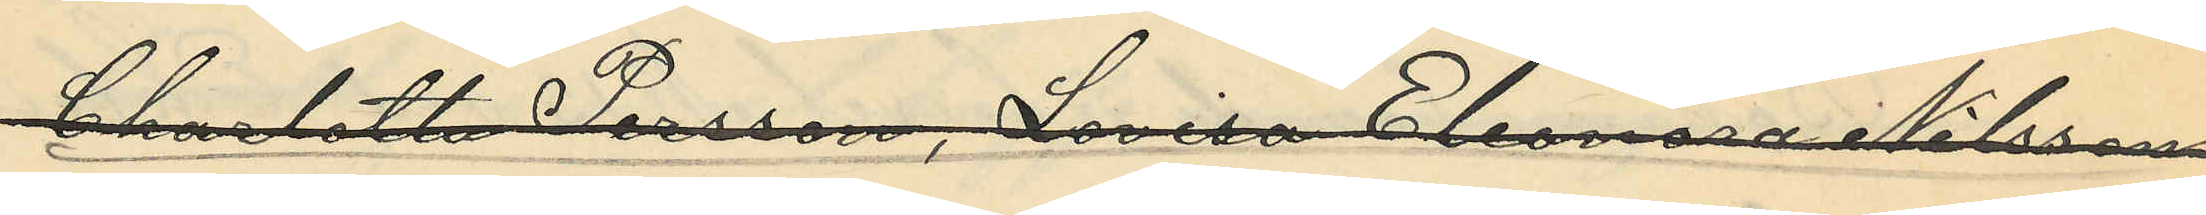Charlotta Persson, Lovisa Eleonora Nilsson
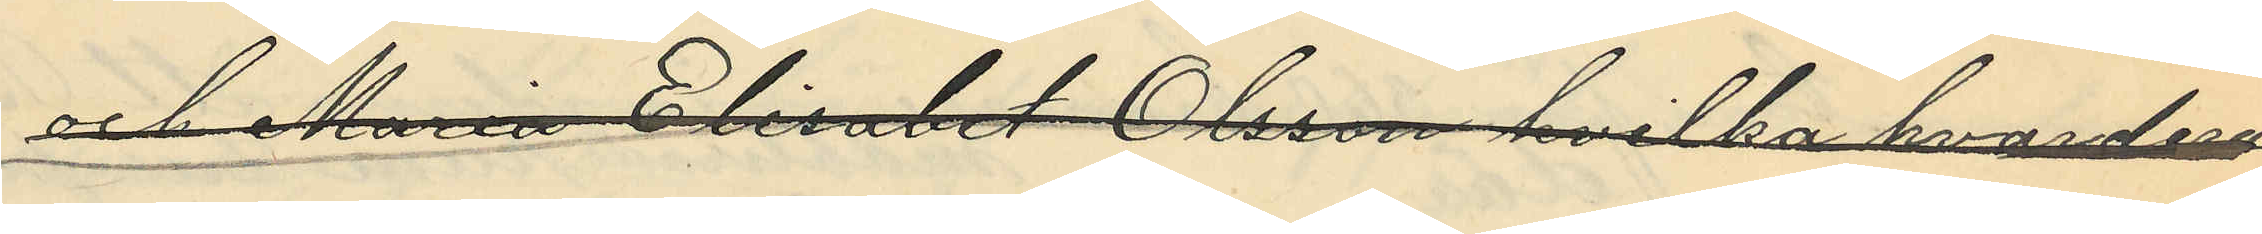och Maria Elisabet Olsson hvilka hvardera
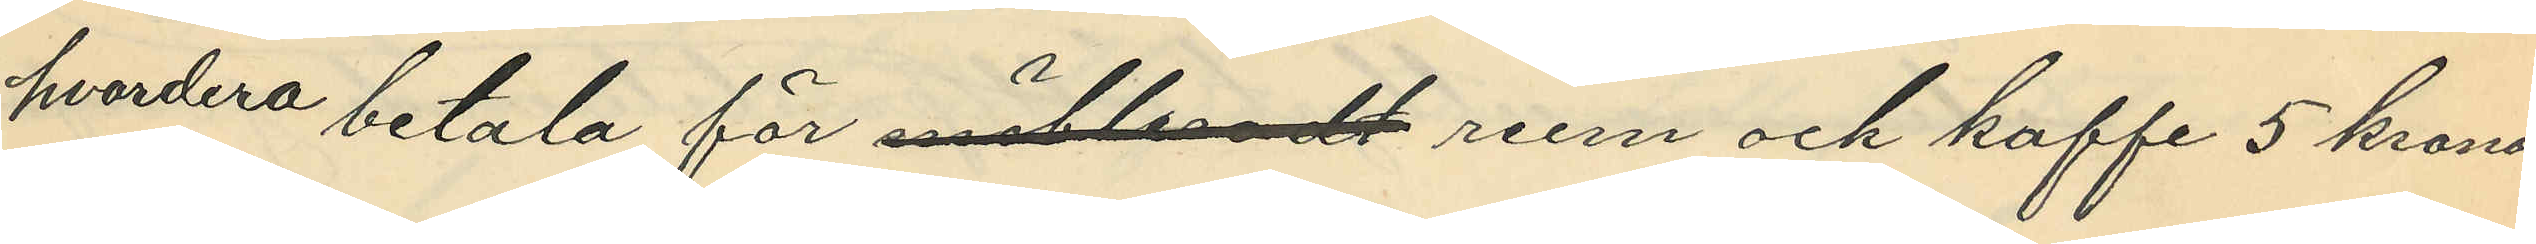hvardera betala för möbleradt rum och kaffe 5 kronor
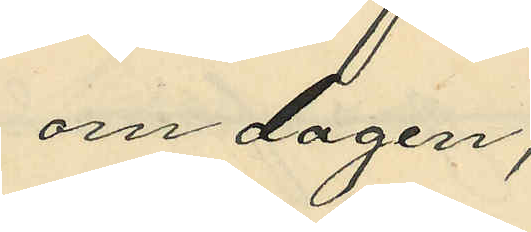om dagen;
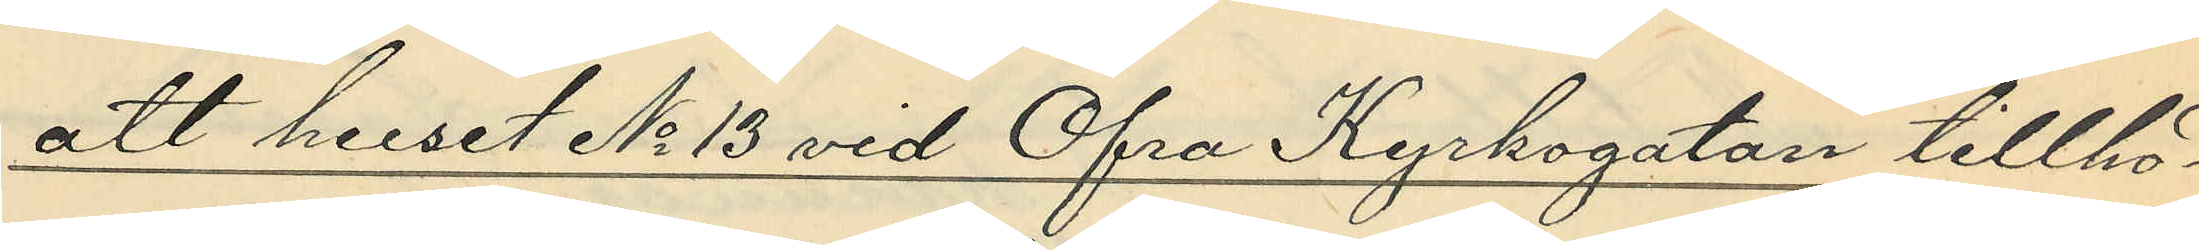att huset No 13 vid Öfra Kyrkogatan tillhö¬
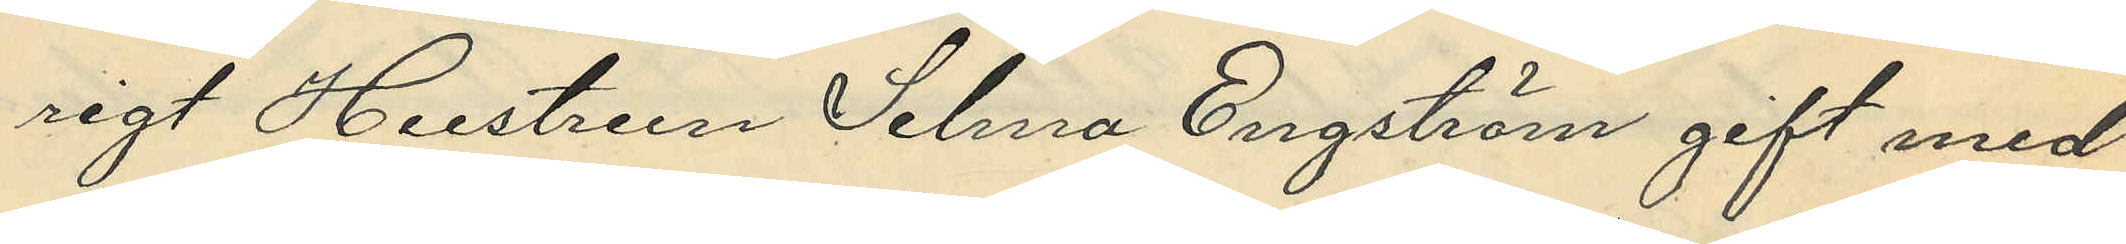rigt Hustrun Selma Engström gift med
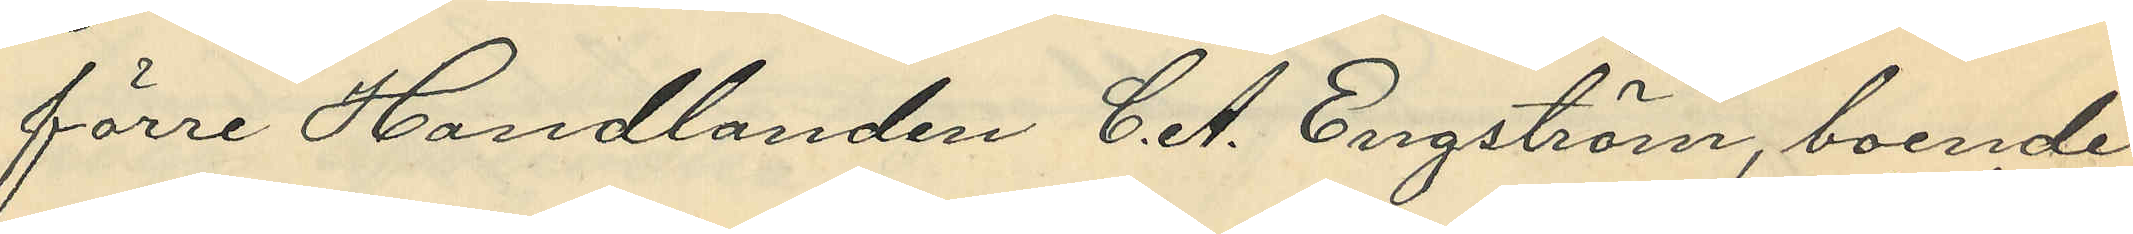förre Handlanden C. A. Engström, boende
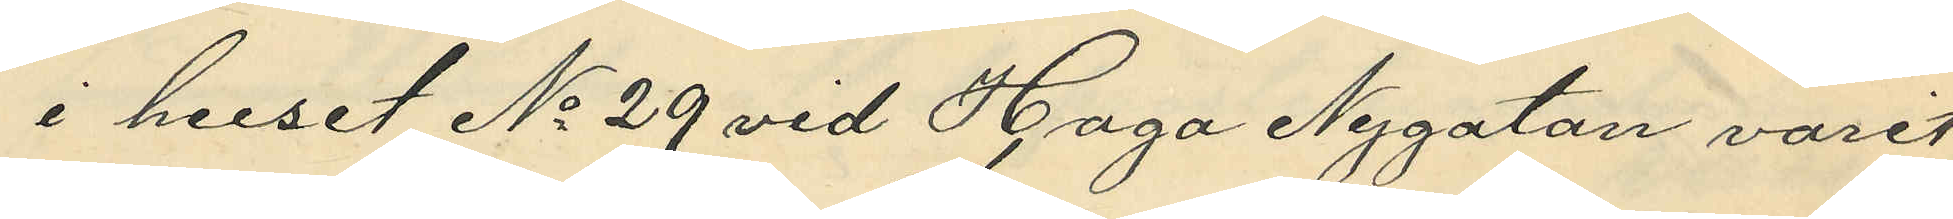i huset No 29 vid Haga Nygatan varit
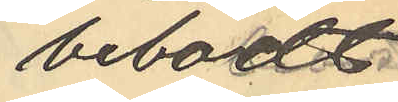bebodt
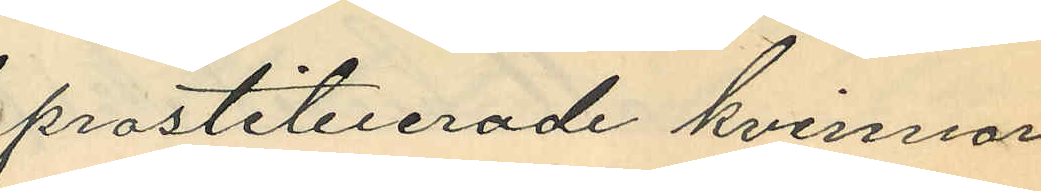prostituerade kvinnor
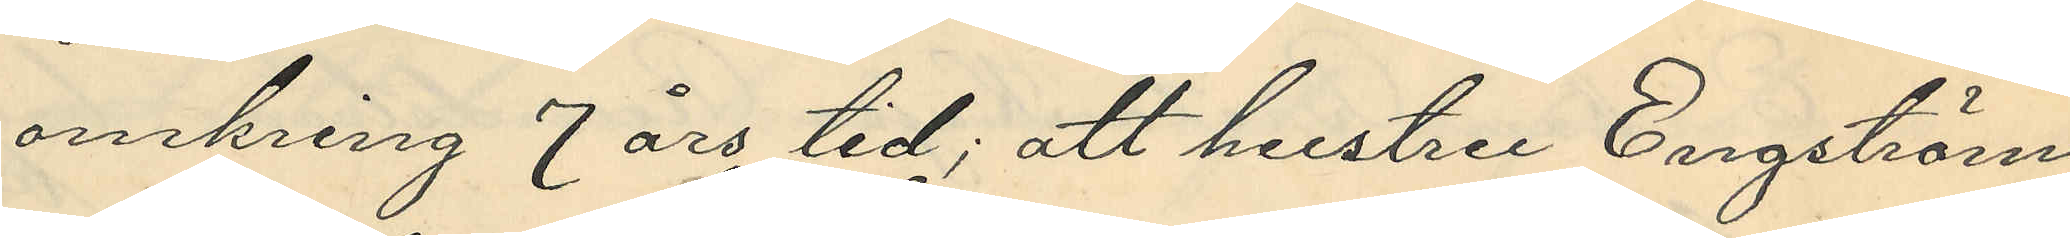omkring 7 års tid; att hustru Engström
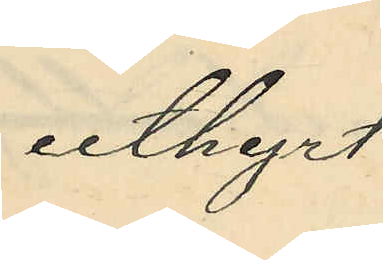uthyrt
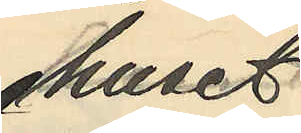huset
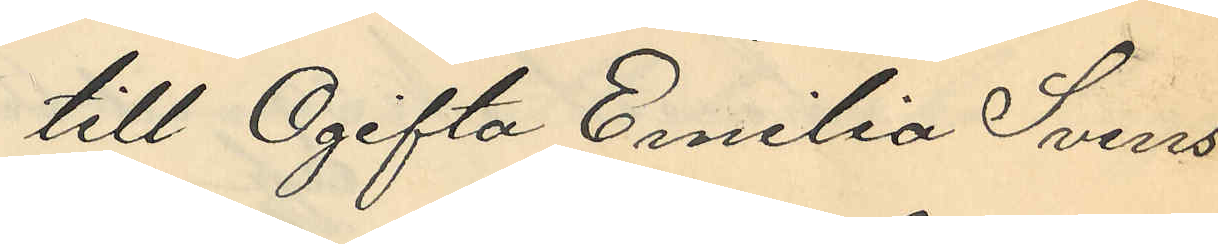till Ogifta Emilia Svens¬
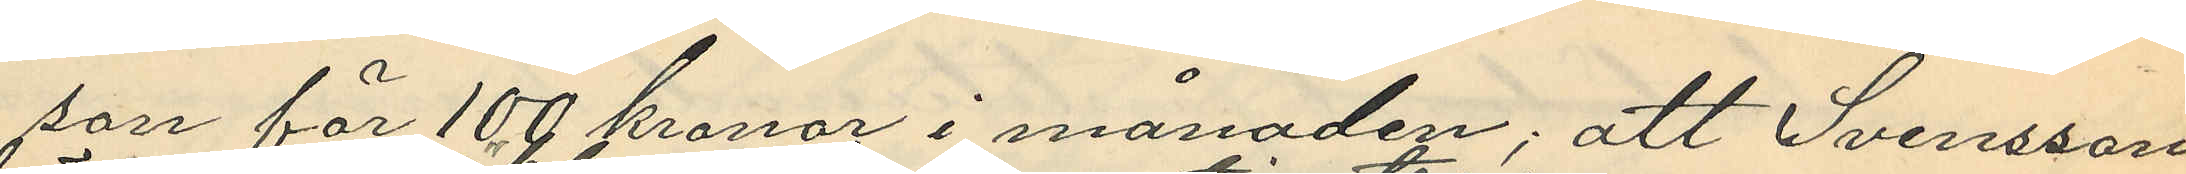son för 100 kronor i månaden; att Svensson
